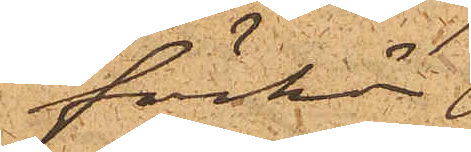förhör
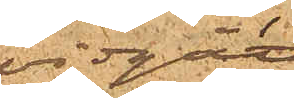vidgått,
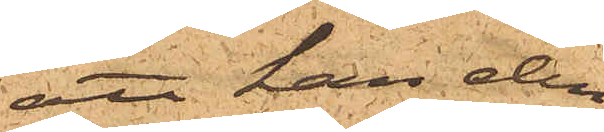att han den
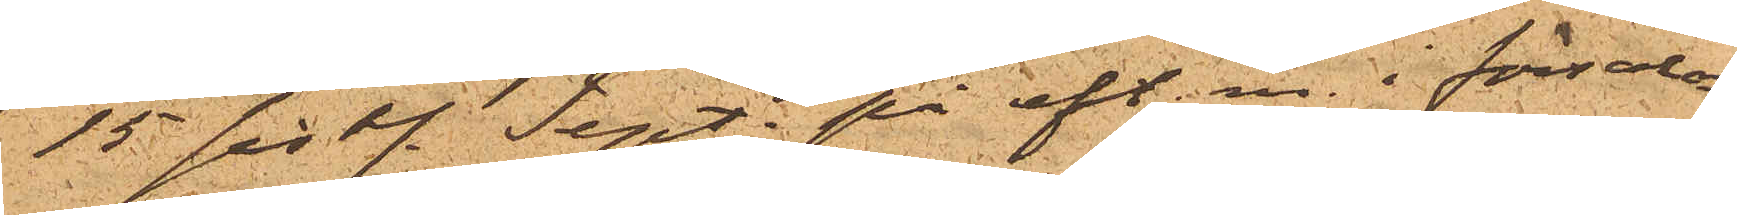15 sist. Sept. på eft. m. i försalon¬
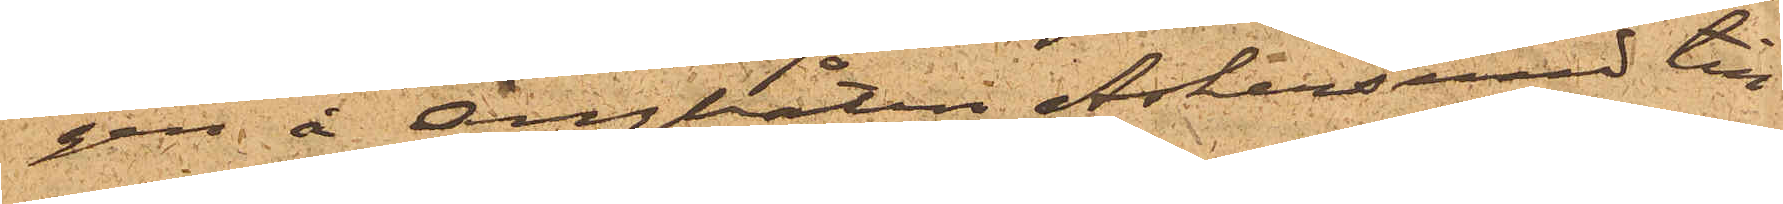gen å Ångbåten Askersund till¬
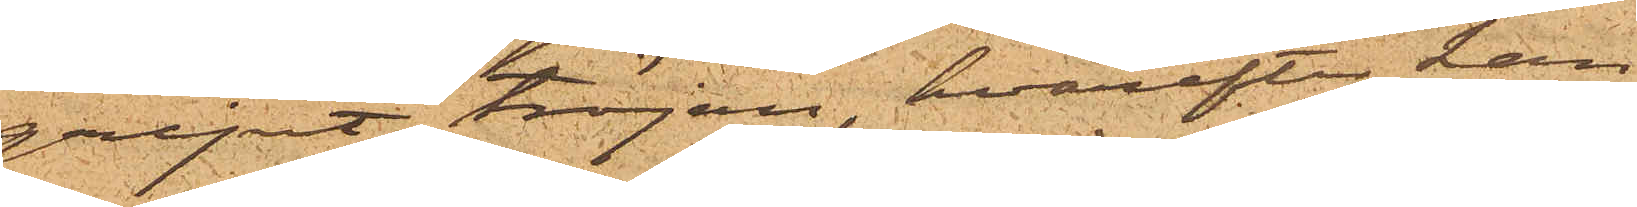gripit tröjan, hvarefter han
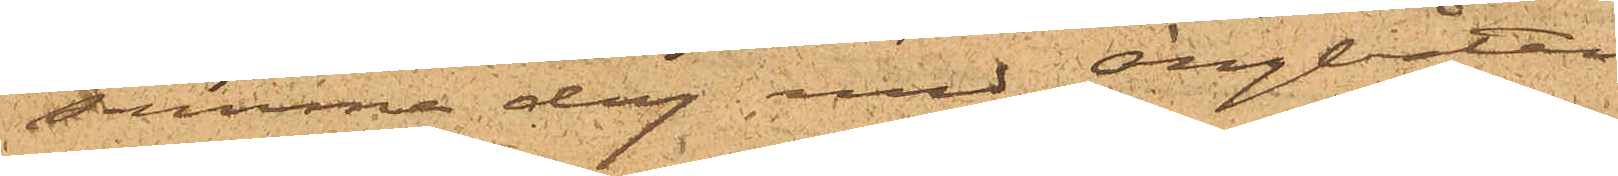samma dag med Ångbåtan
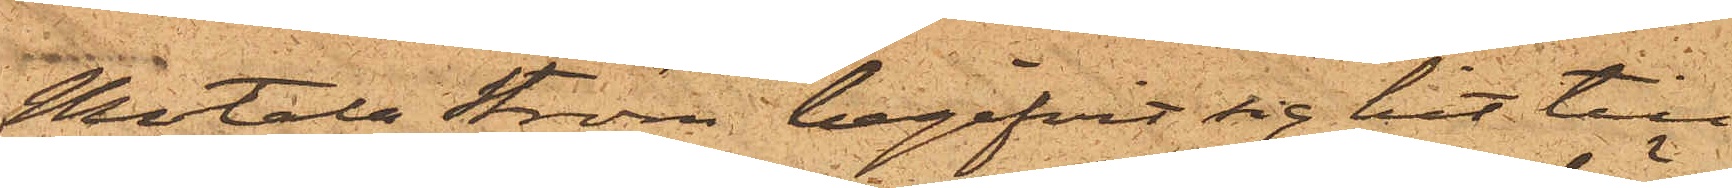Motala Ström begifvit sig hit till
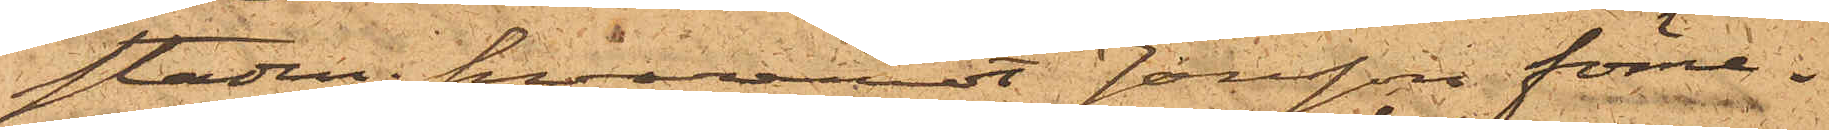staden; hvaremot Jonsson förne¬
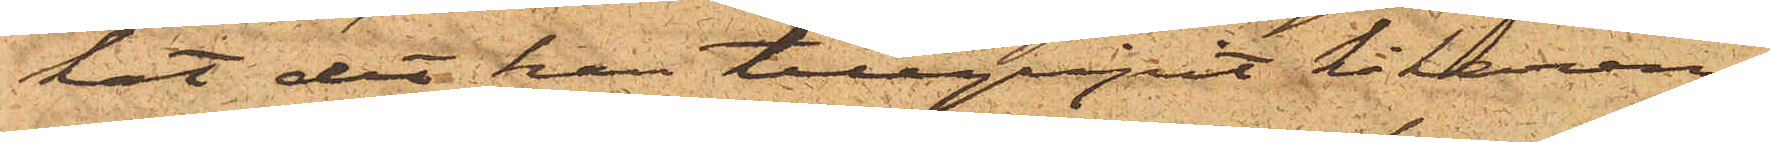kat det han tillgripit kikaren.
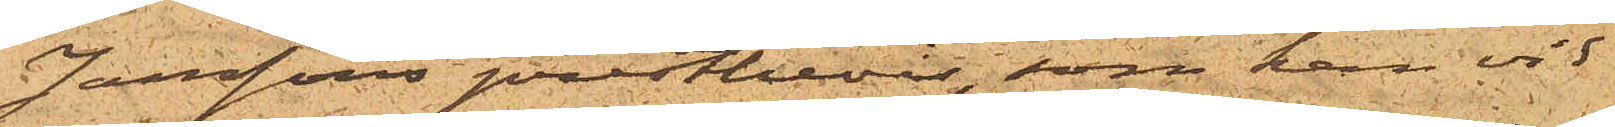Jonssons prestbevis, som han vid
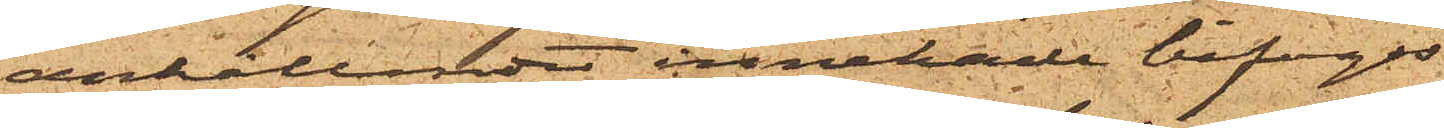anhållandet innehade bifogas.
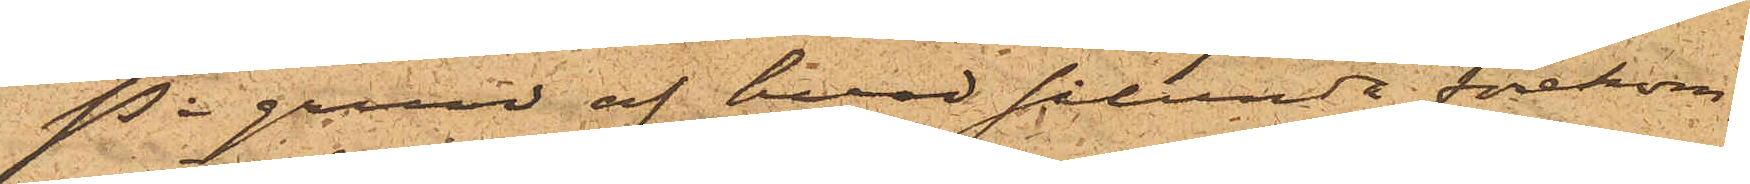På grund af hvad sålunda förekom¬
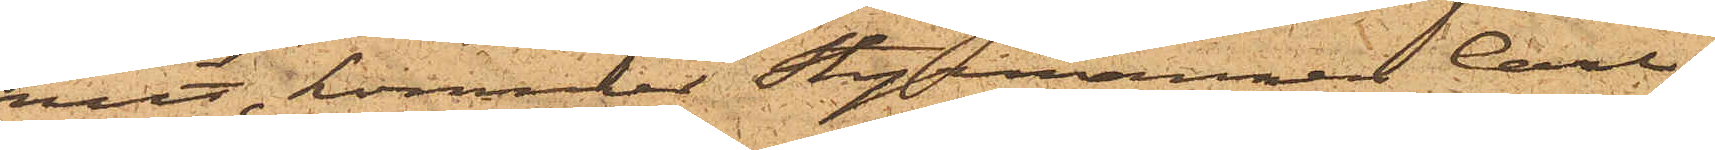mit, kommer Styrmannen Carl
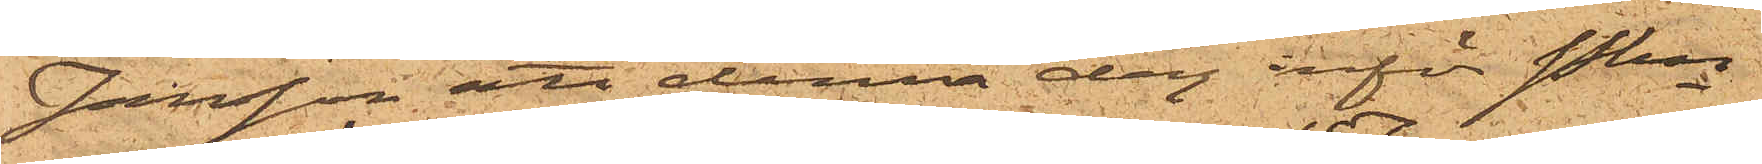Jonsson att denna dag inför Pkn
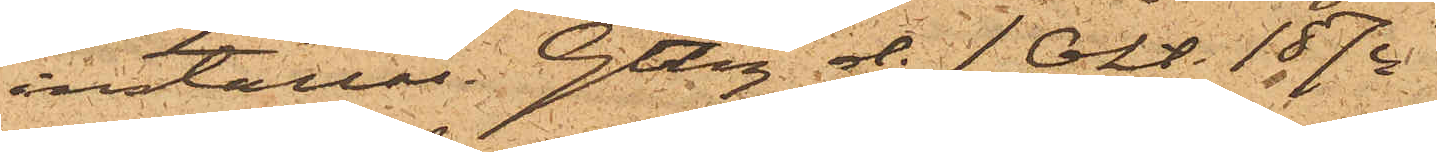inställas. Gtbg d. 1 Okt: 1874.
